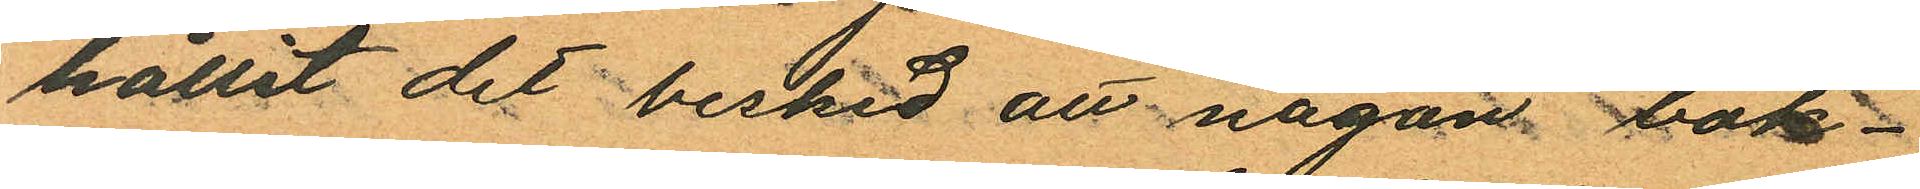hållit det besked att någon bok¬
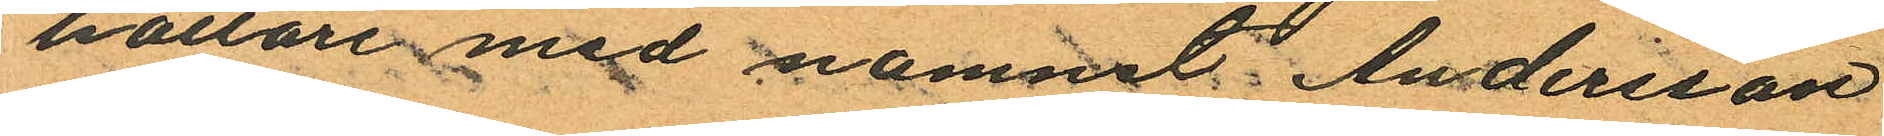hållare med namnet Andersson
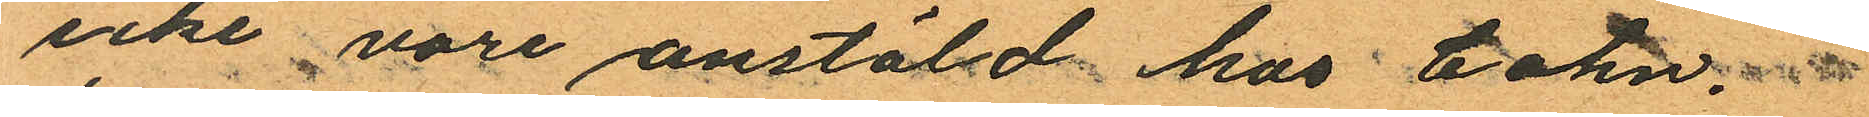icke vore anstäld hos Cohn.
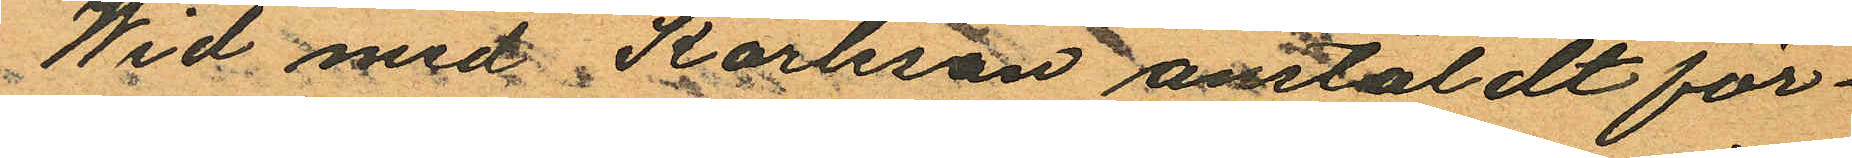Wid med Karlsson anstäldt för¬
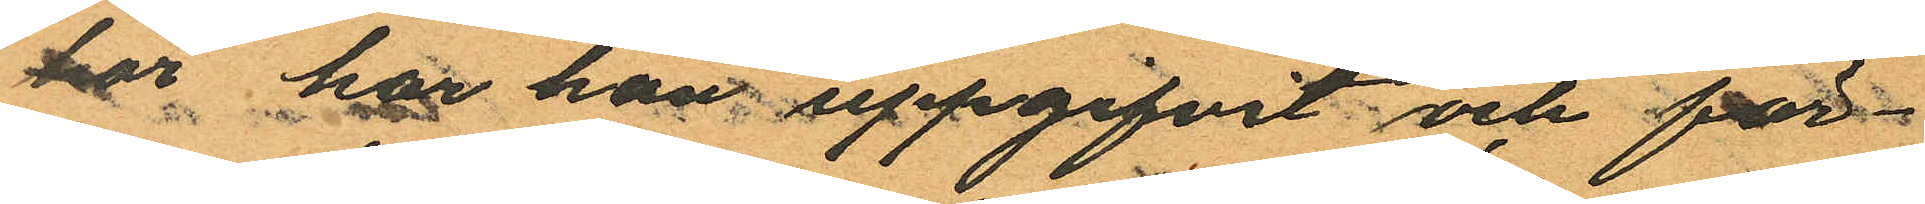hör har han uppgifvit och för¬
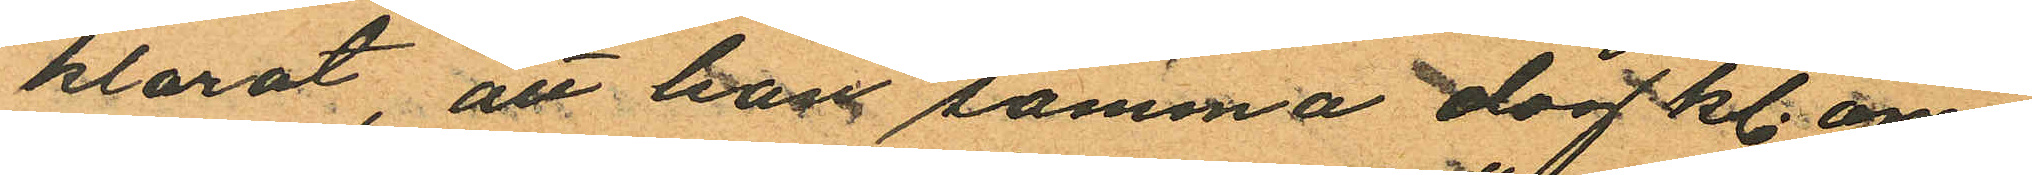klarat, att han samma dag kl. om¬
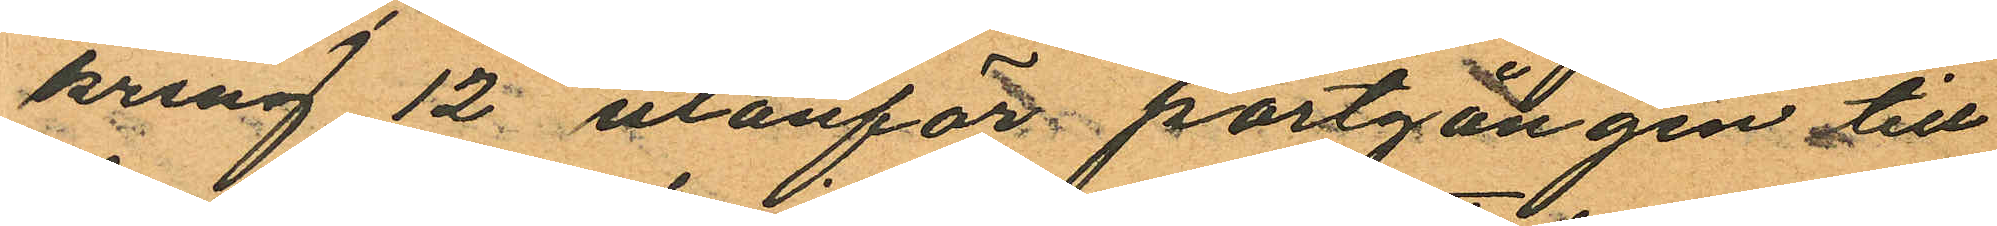kring 12 utanför portgången till
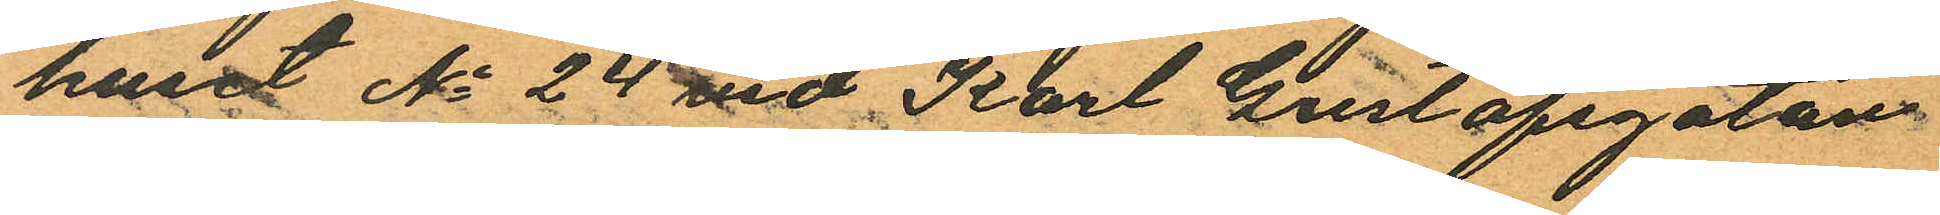huset No 24 vid Karl Gustafsgatan
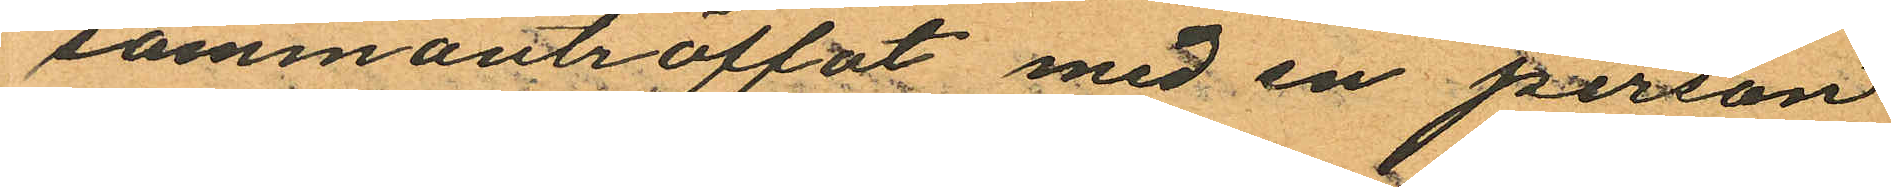sammanträffat med en person
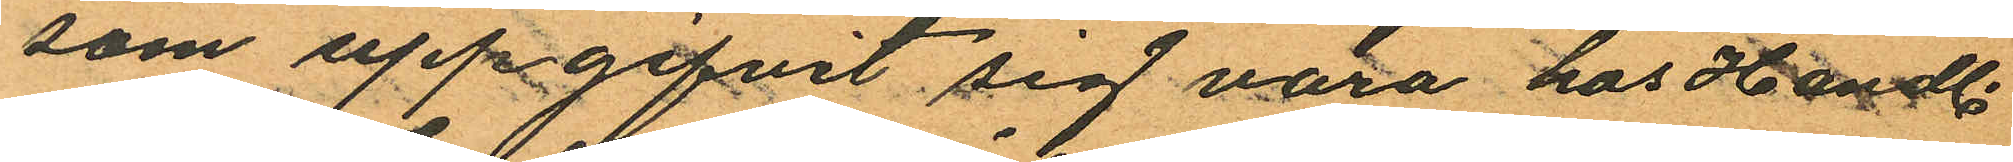som uppgifvit sig vara hos Handl.
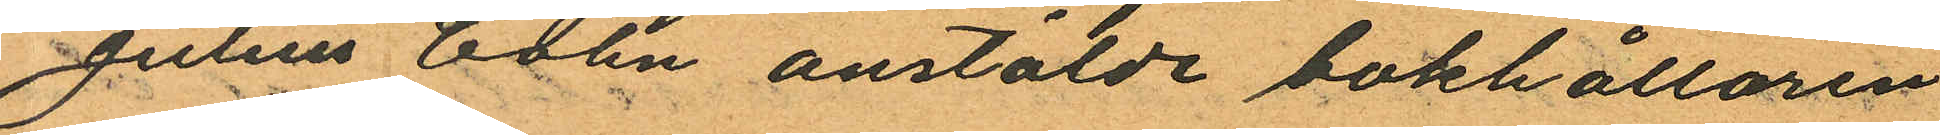Julius Cohn anstälde bokhållaren
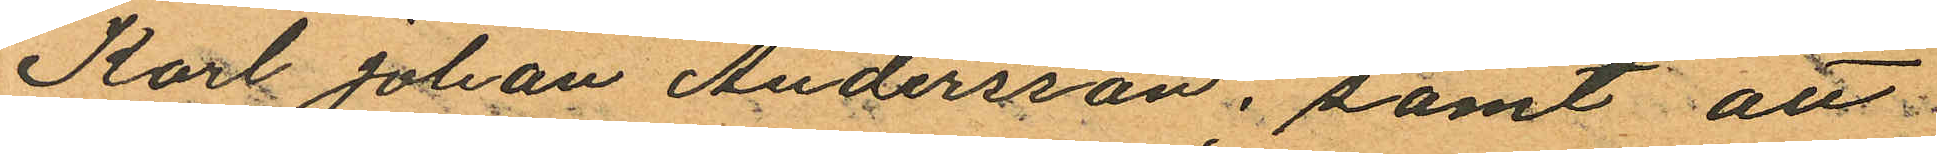Karl Johan Andersson; samt att
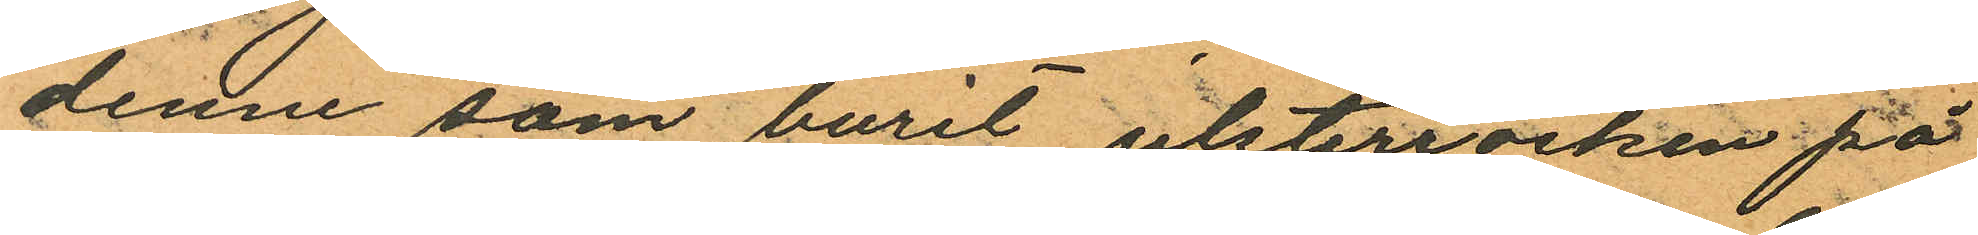denne som burit ulsterrocken på
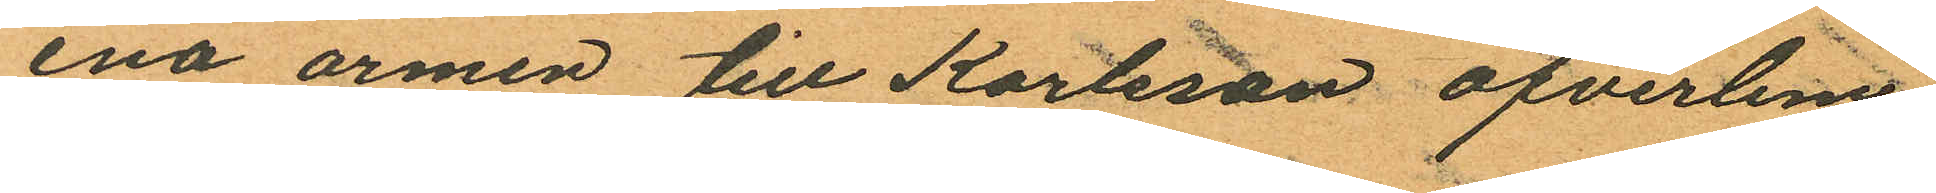ena armen till Karlsson öfverlem¬
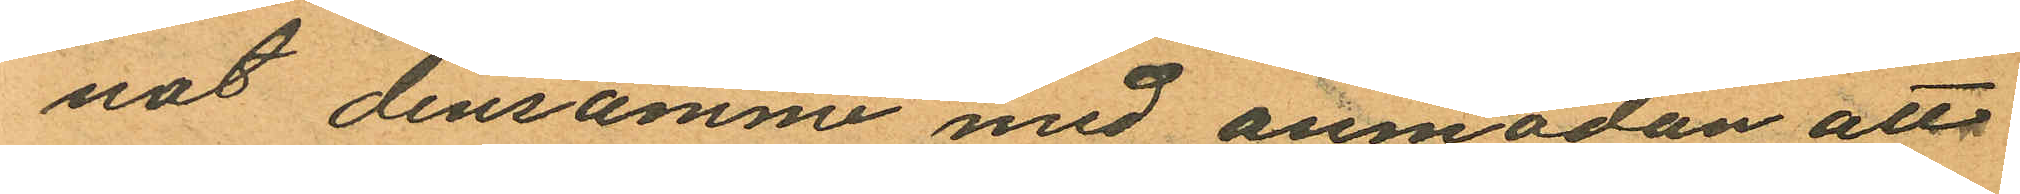nat densamme med anmodan att
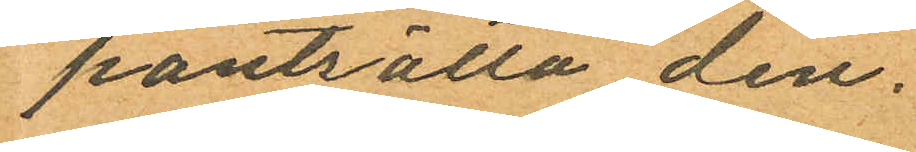pantsätta den.
